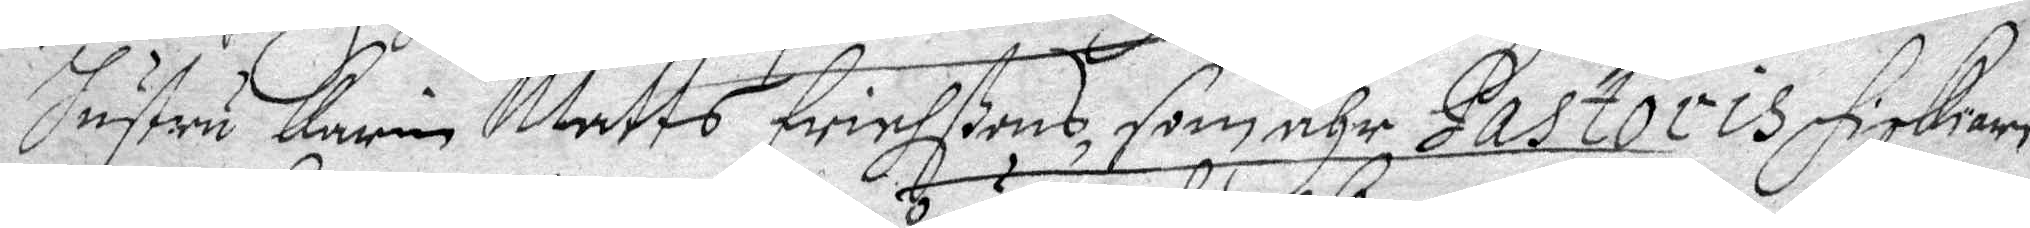Hustru Karin Matts Erichßons, som ähr Pastoris fiskare
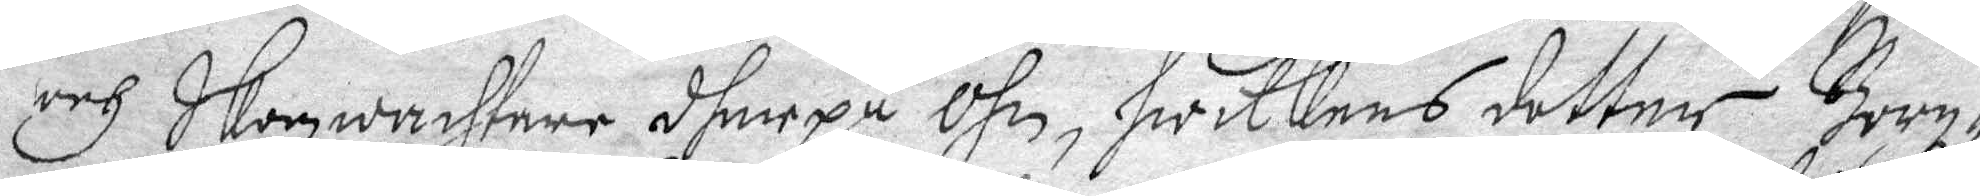och Skogwachtare dherpå Öhn, Hwilkens dotter Borg¬
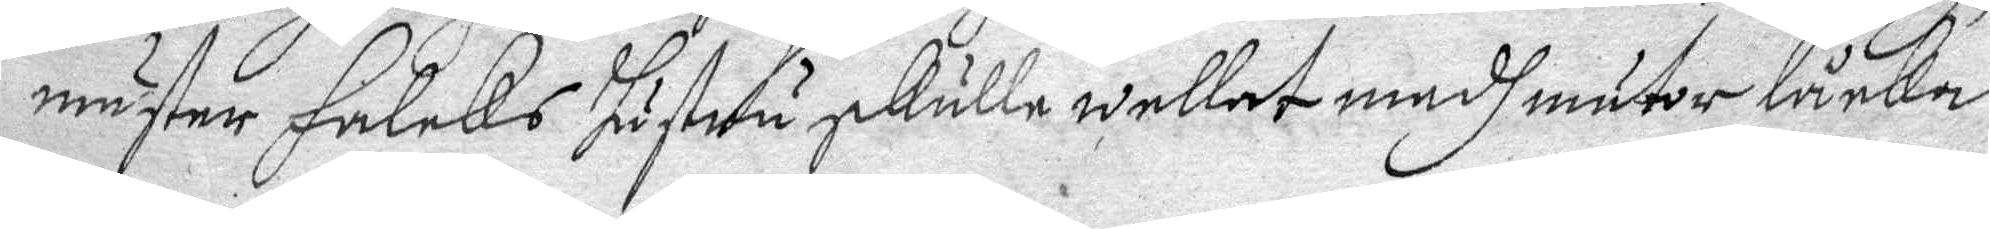mäster Falcks hustru skulle wellat medh mutor låcka
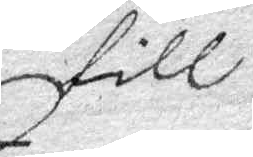till
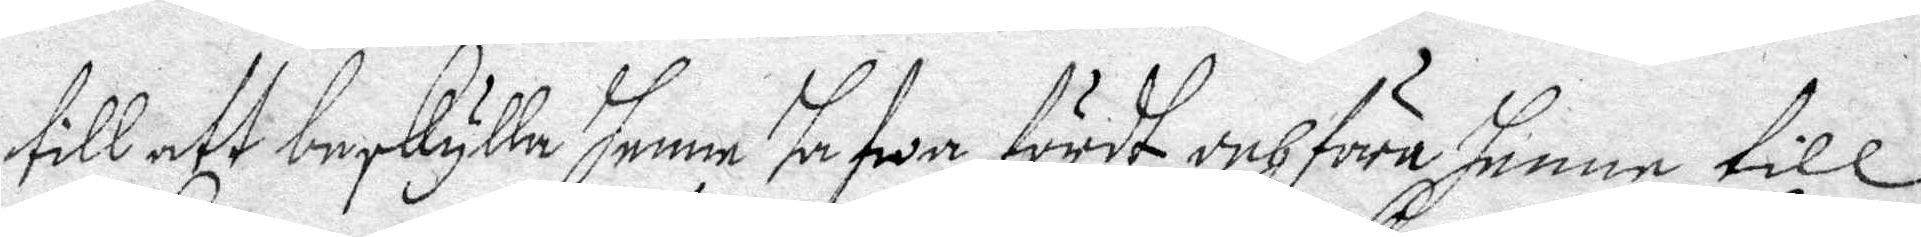till att beskylla henne hafwa fördt och föra henne till
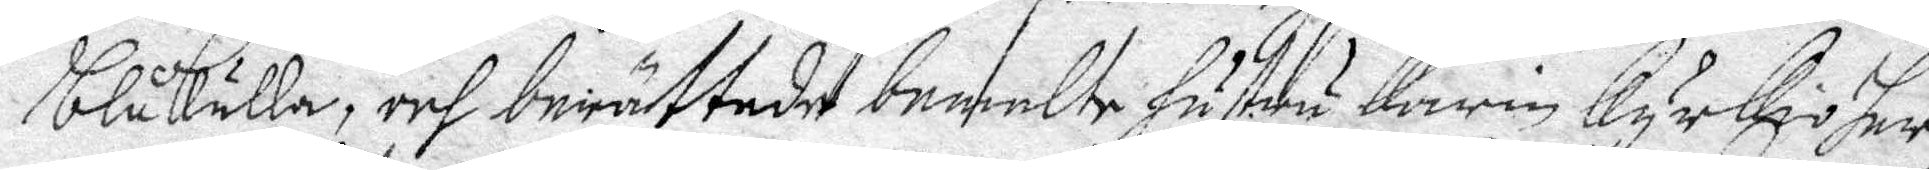blåkulla, och berättade bemelte hustru Karin Kyrkioher¬
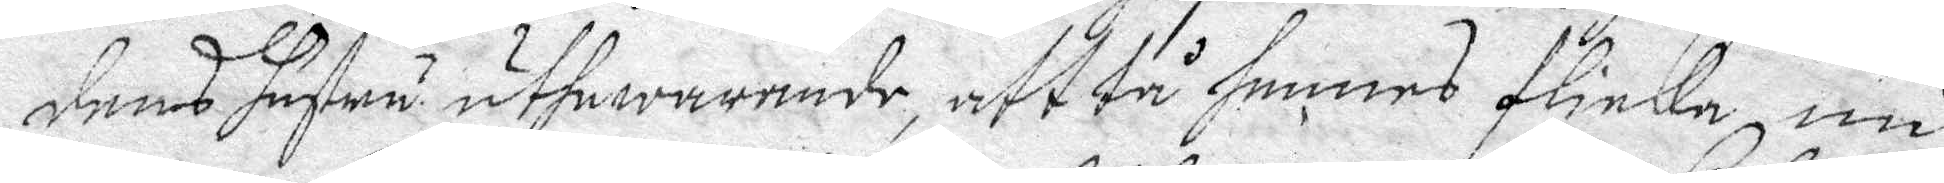dens hustru uthewarande, att tå hennes flicka nu
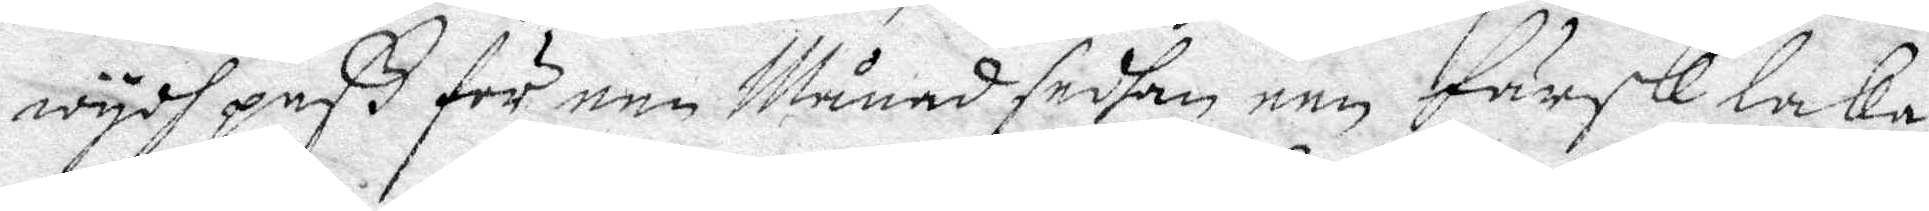wydh paß för een Månad sedhan een Färsk laka
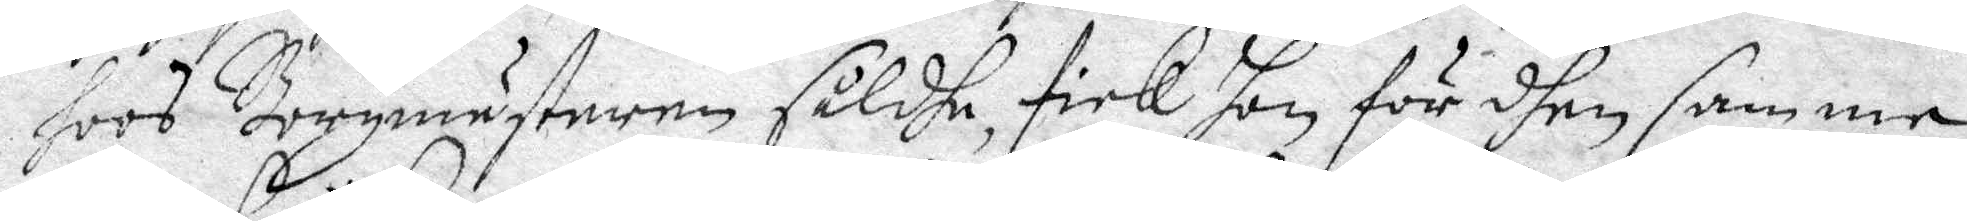hoos Borgmästeren såldhe, fick hon för dhen samme
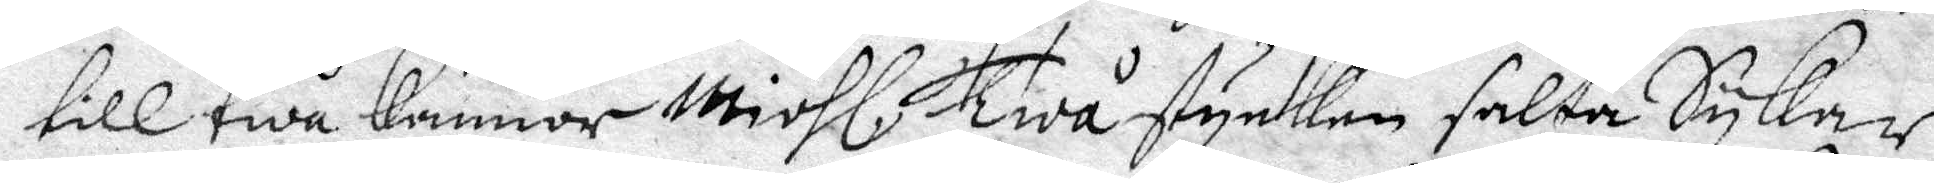till twå kannor miöhl, Twå stycken salta Sykar,
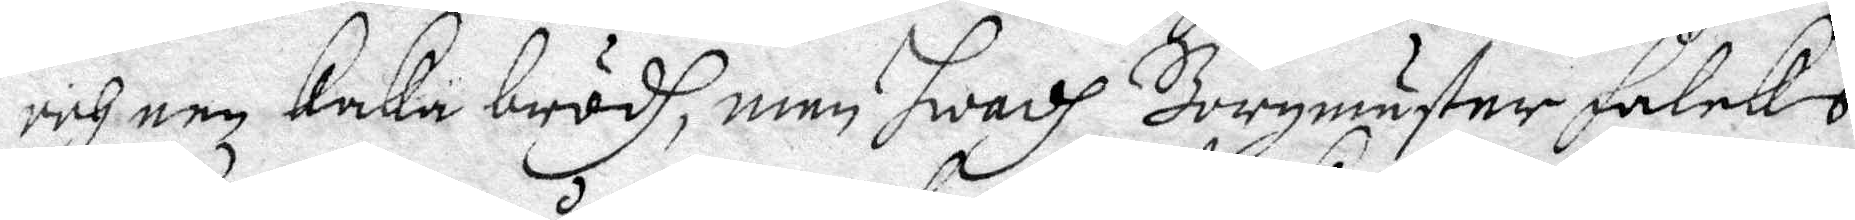och een kaka brödh, men Hwadh Borgmäster Falcks
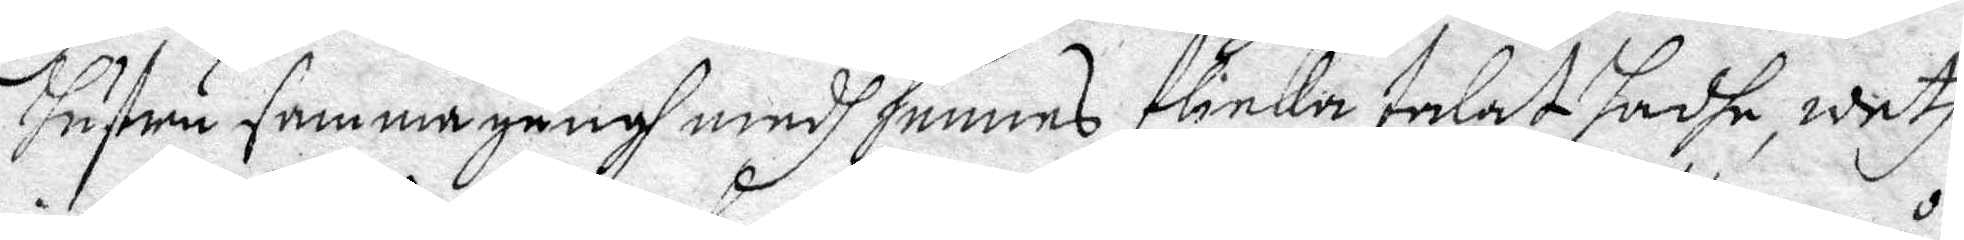hustru samma gångh medh hennes ficka talat hadhe, weth
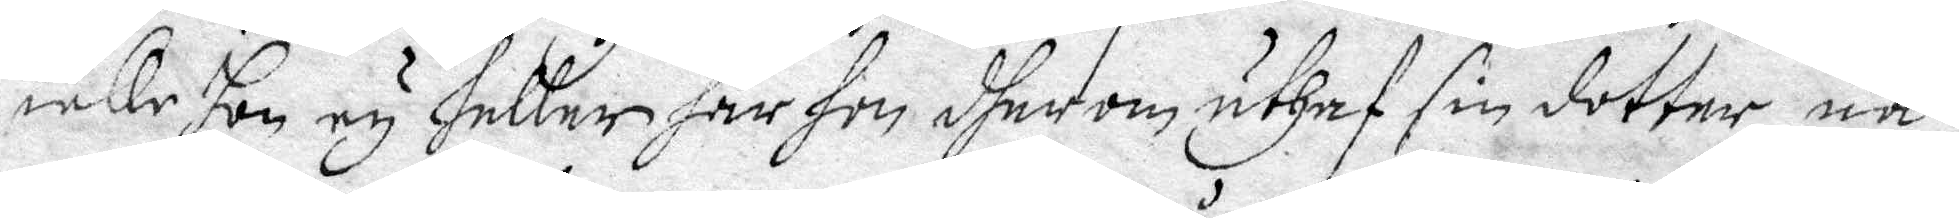icke hon ey heller har hon dher om uthaf sin dotter nå¬
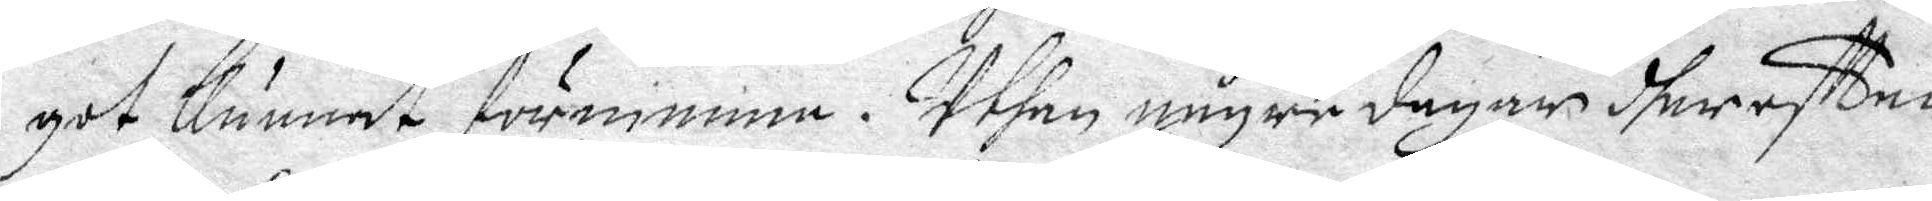got Kunnat förnimma. Uthan någre dagar dhereftter
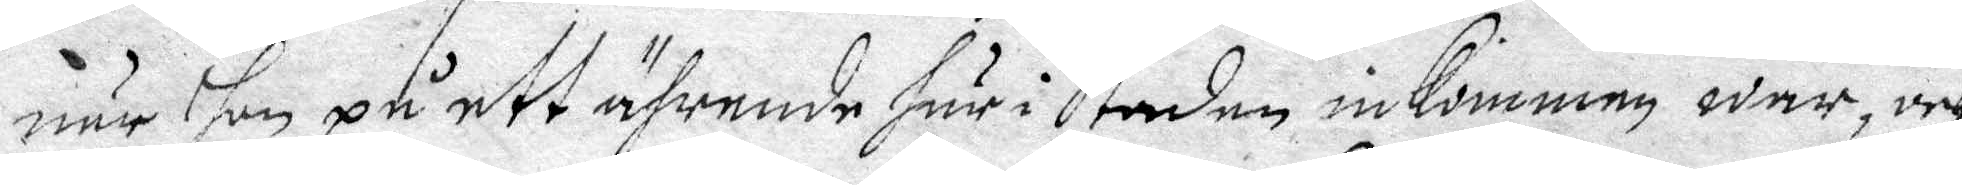när hon på att ährende här i Staden inkommen war, och
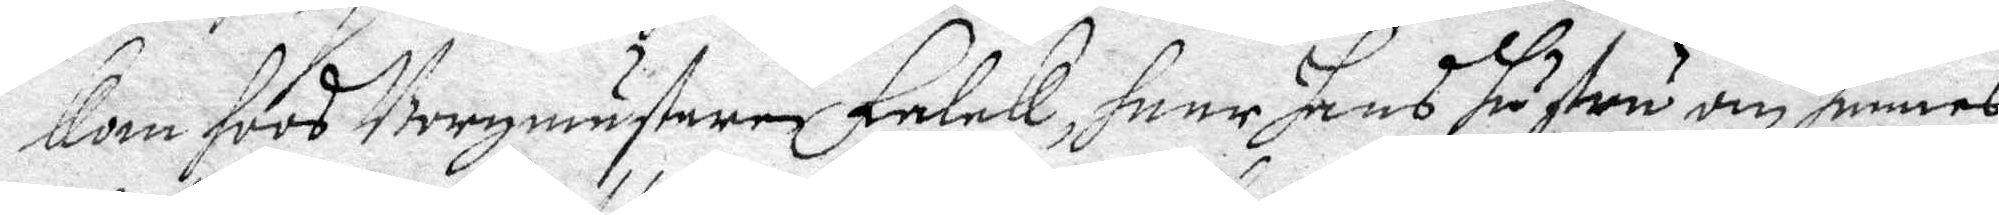Kom hLoos Borgmästaren  Falck, haar hans hustru om hennes
